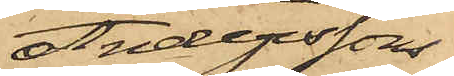Anderssons
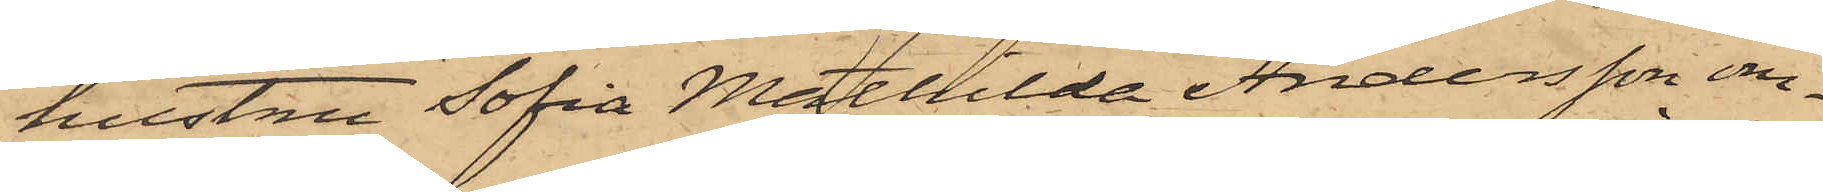hustru Sofia Mathilda Andersson om¬
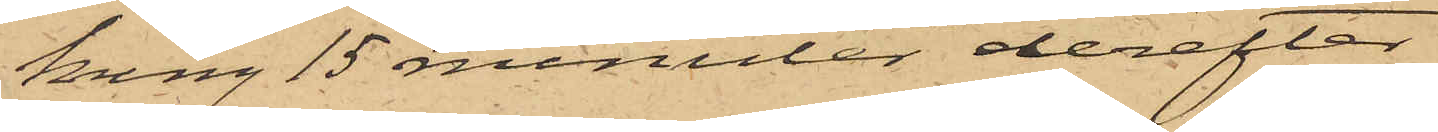kring 15 minuter derefter
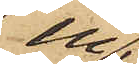in¬
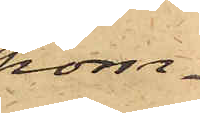kom¬
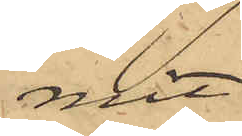mit
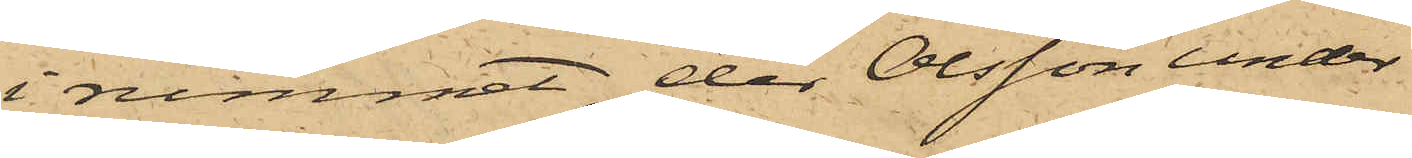i rummet, der Olsson under
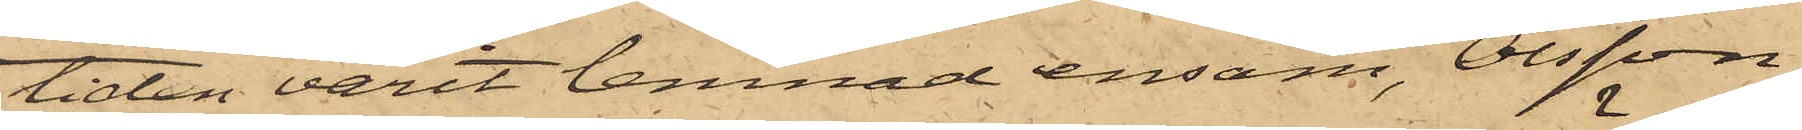tiden varit lemnad ensam, Olsson
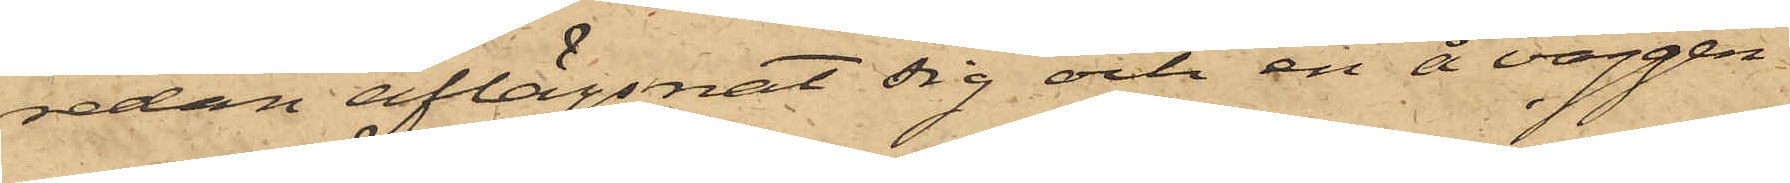sedan aflägsnat sig och en å väggen
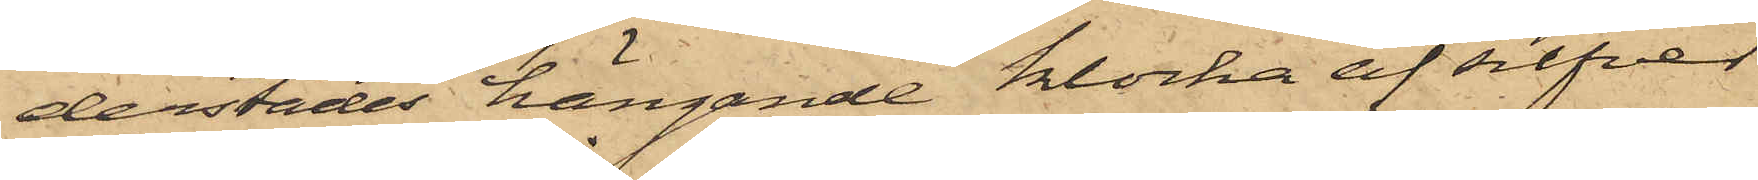derstädes hängande klocka af silfver
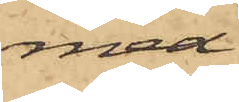med
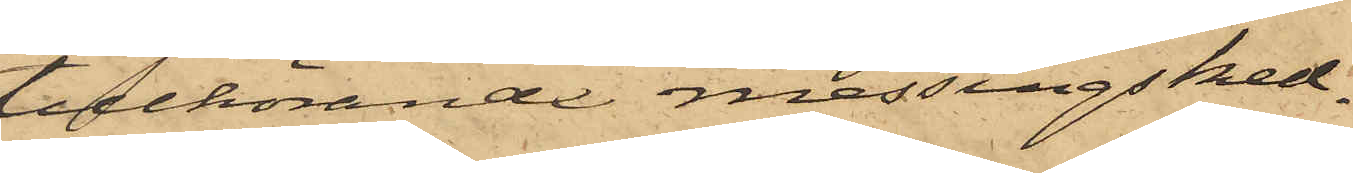tillhörande messingsked¬
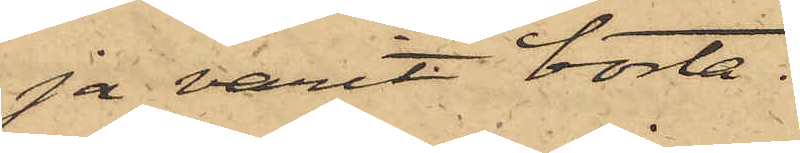ja varit borta.
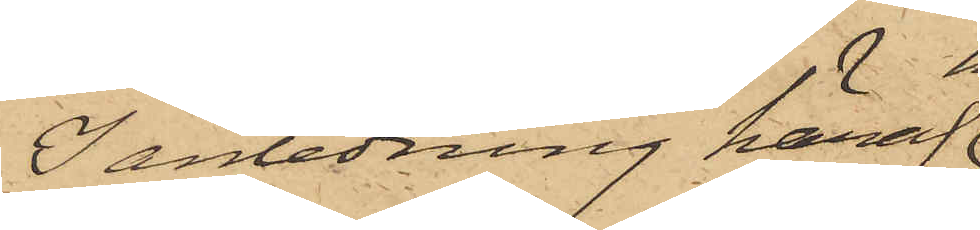I anledning häraf
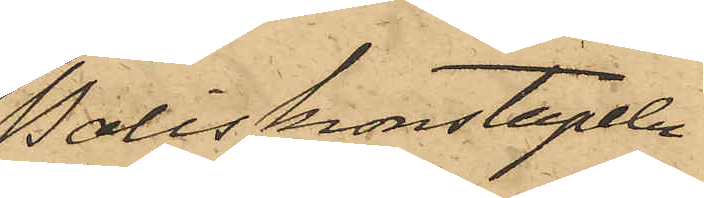Poliskonstapeln
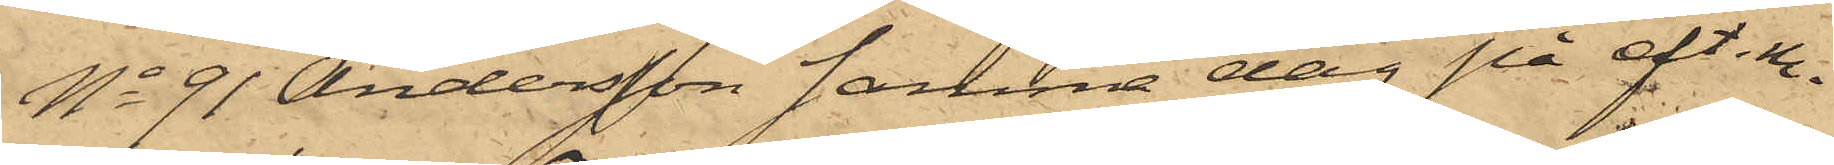No 91 Andersson samma dag på eft. m.
